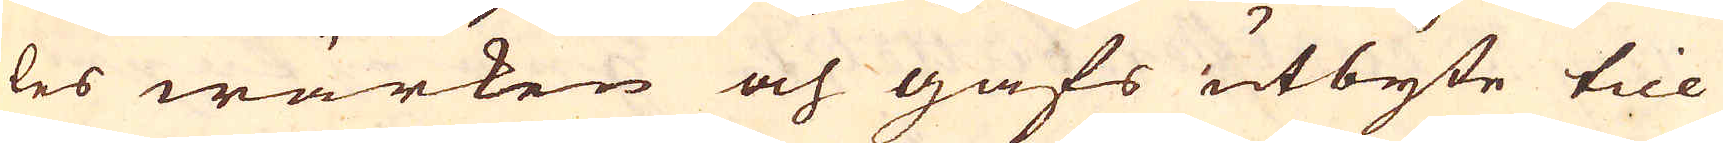les wärken och gafs utbyte till
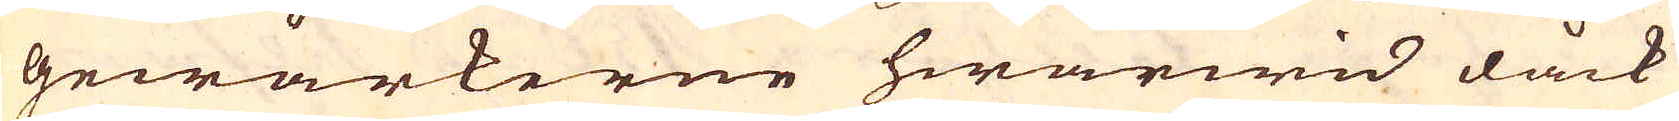gewärkerne hwarwid dåck
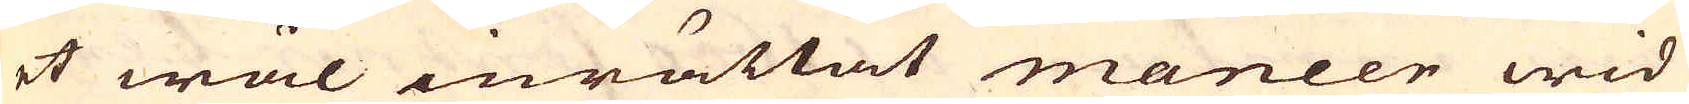et wäl inrättat maneer wid
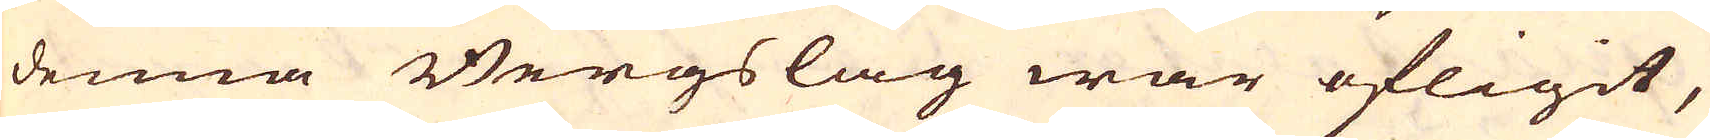denna Bergslag war öfligit,
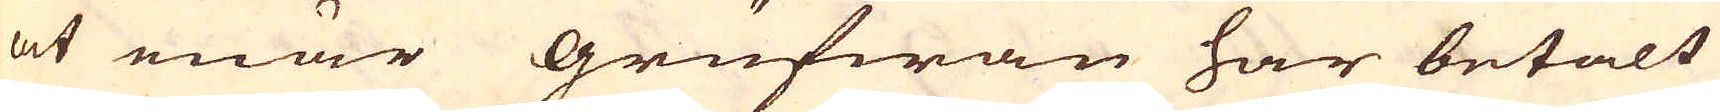at enär Grufwan har betalt
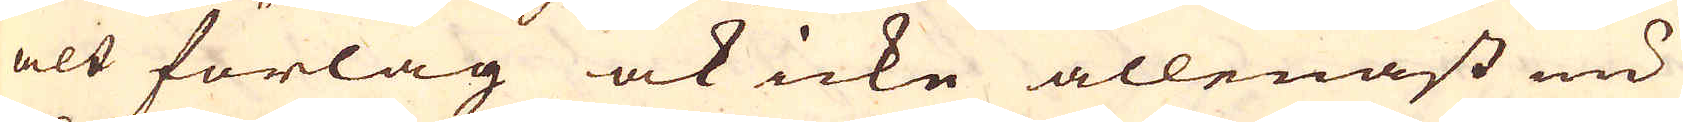alt förlag ock icke allenast nu
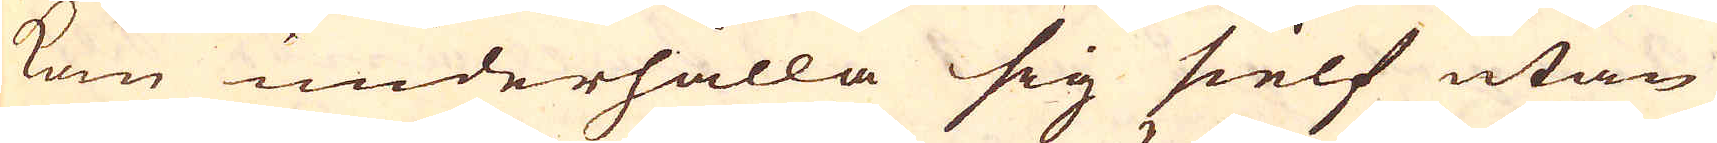kan underhålla sig sielf utan
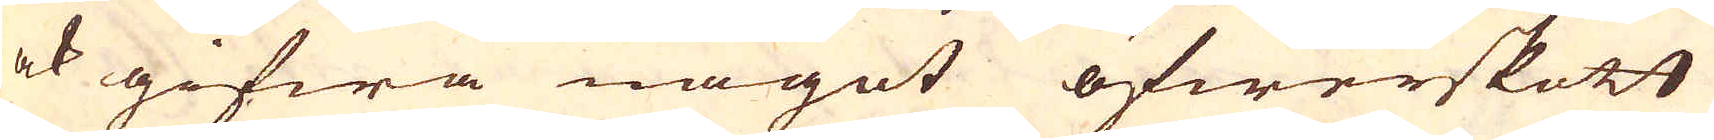ock gifwa något öfwerskott
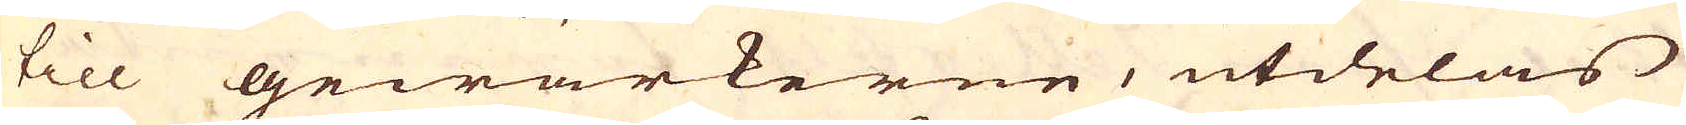till gewärkerne, utdelas
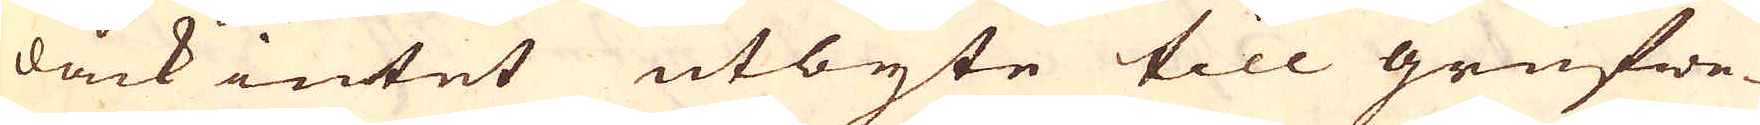dåck intet utbyte till grufwe-
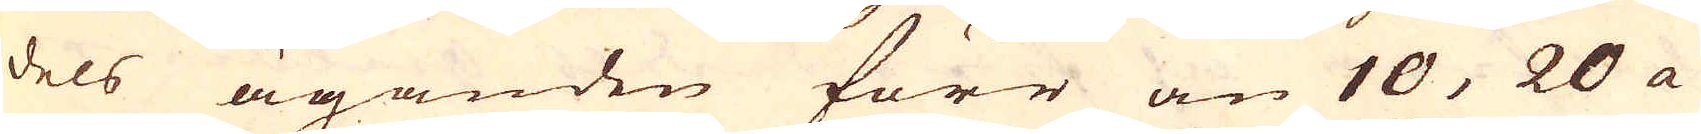dels äganden förr än 10, 20 a
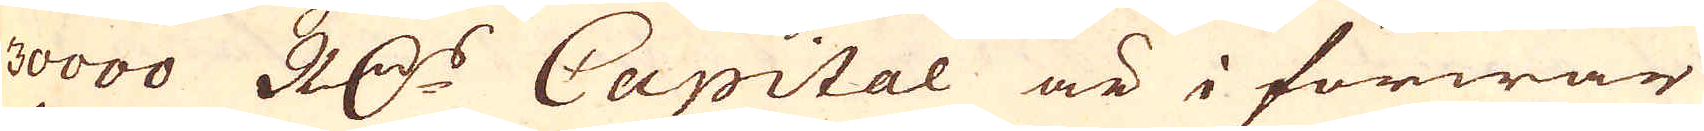30000 R:drs Capital är i förwar
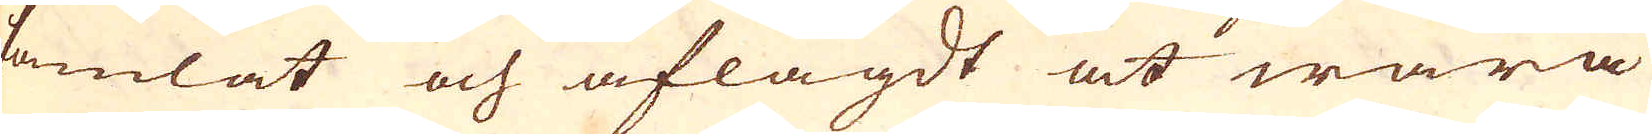samlat och aflagdt at wara
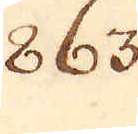863.
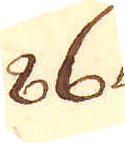864.
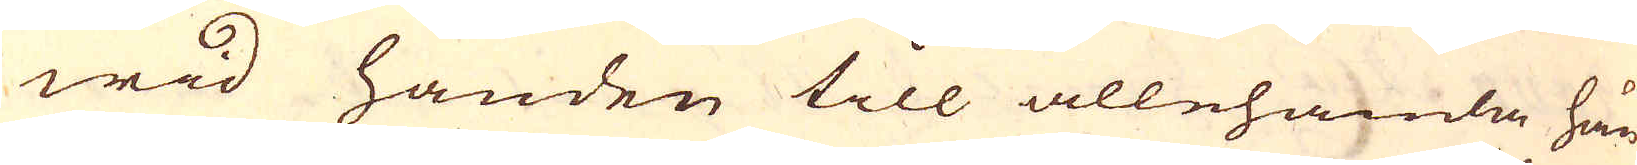wid handen till allehanda hän-
